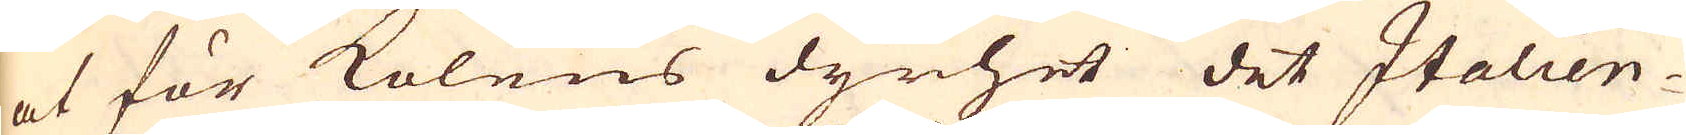at för kolens dyrhet det Italien-
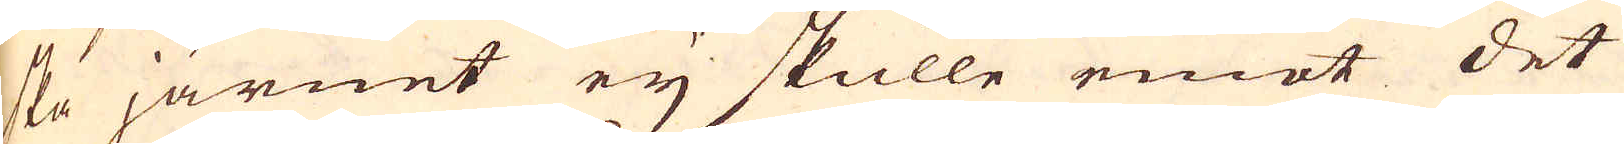ska järnet eij skulle emot det
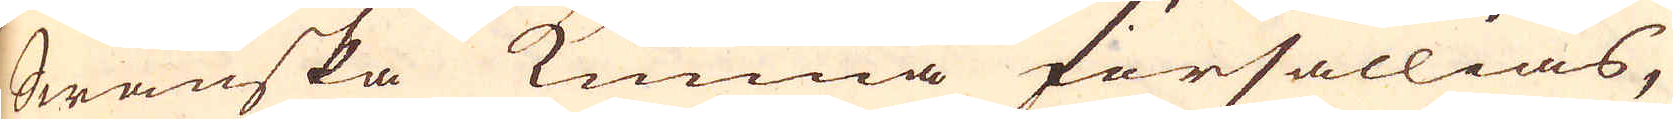Swänska kunna försällias,
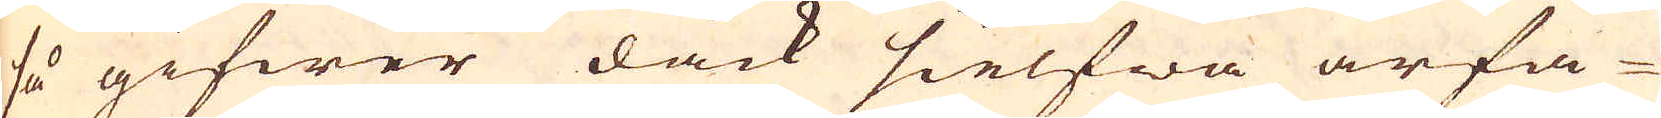så gifwer dåck sielfwa ärfa-
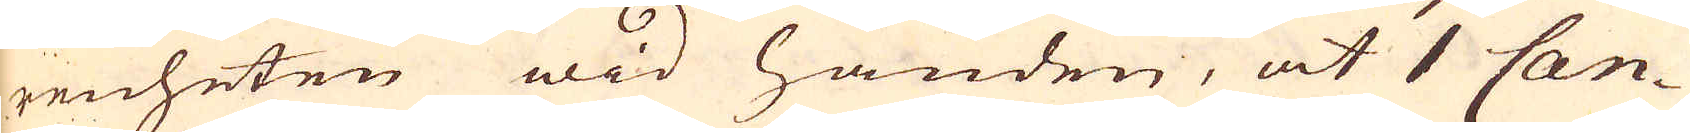renheten wid handen, at 1 Can-
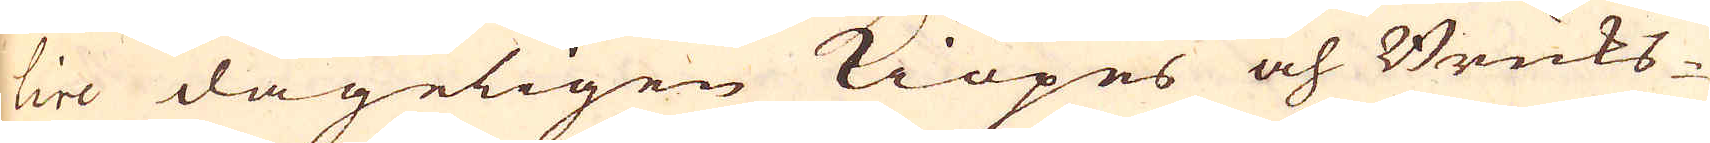lire dageligen kiöpes och Bruks-
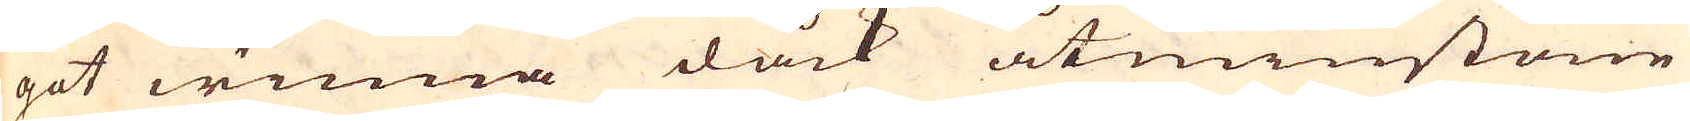got winna dåck åtminstone
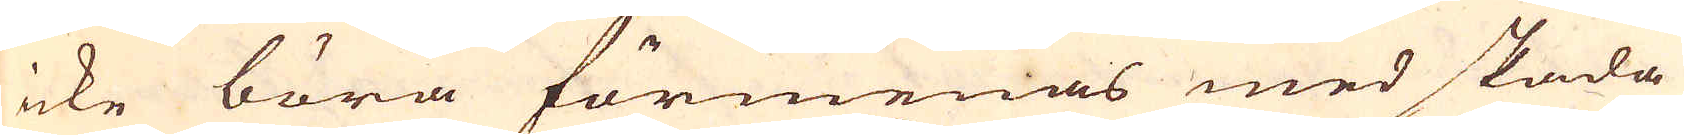icke böra förmenas med skada
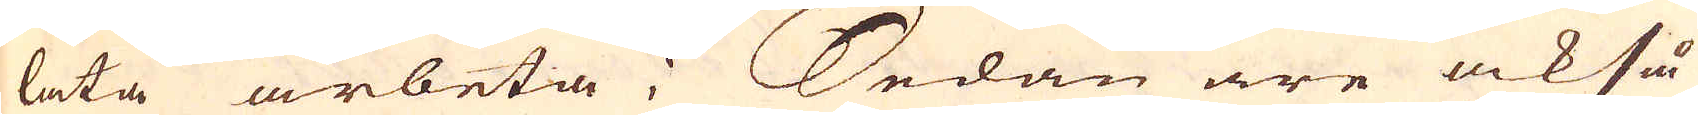låta arbeta; Sedan äre också
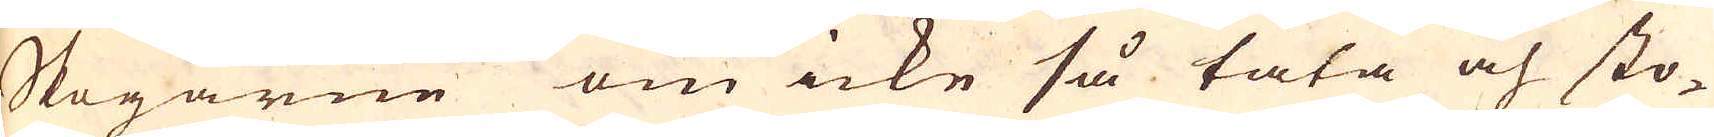Skogarne om icke så täta och sto-
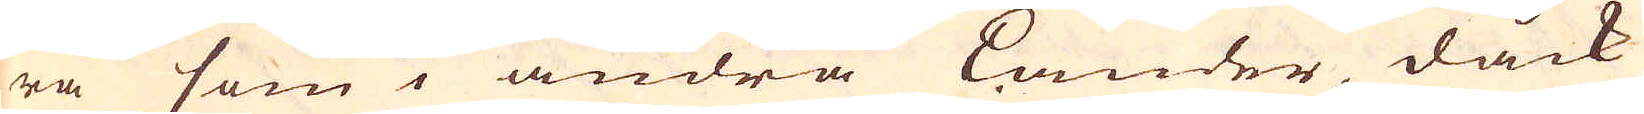ra som i andra Länder, dåck
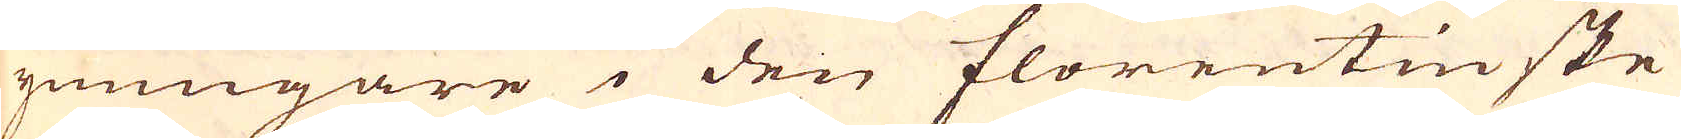ymnigare i den florentinske
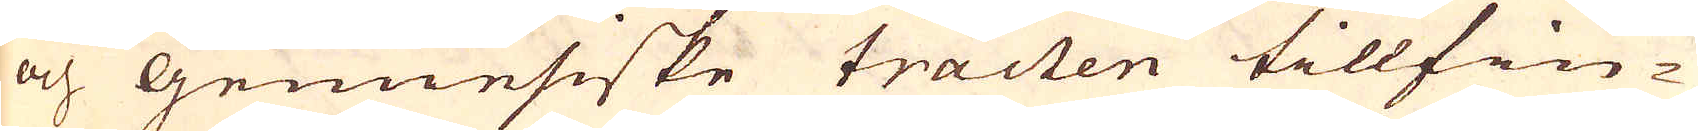och Genuesiske tracten tillfin-
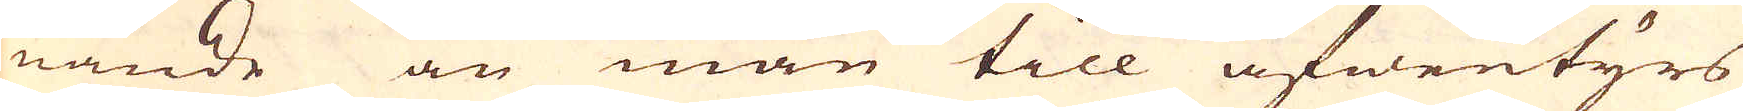nande än man till äfwentyrs
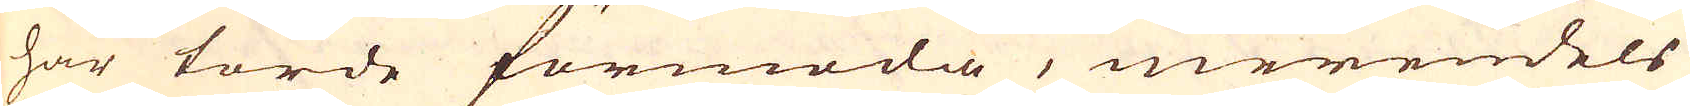har torde förmoda, merendels
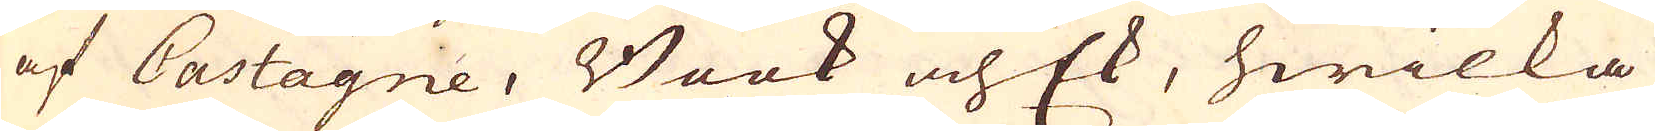af Castagne, Book och Ek, hwilka
